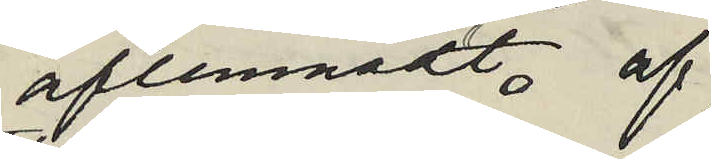aflemnadt, af
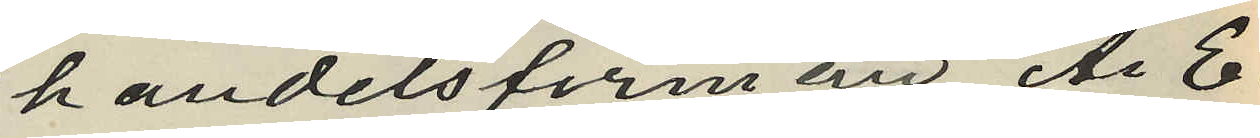handelsfirman A. E.
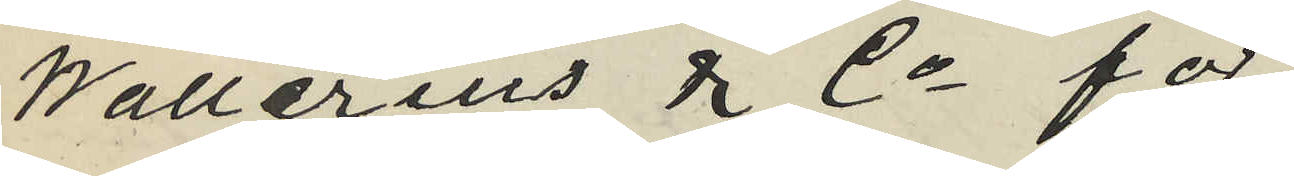Wallerius & Co för
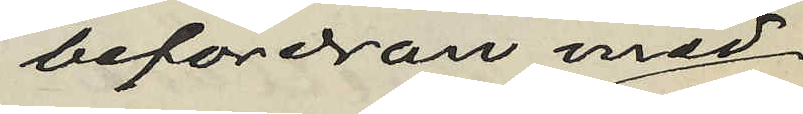befordran med
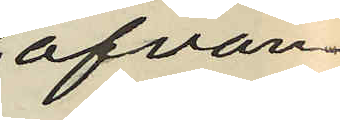ofvan¬
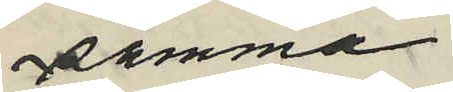samma
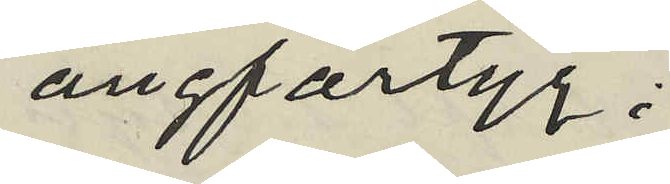ångfartyg;
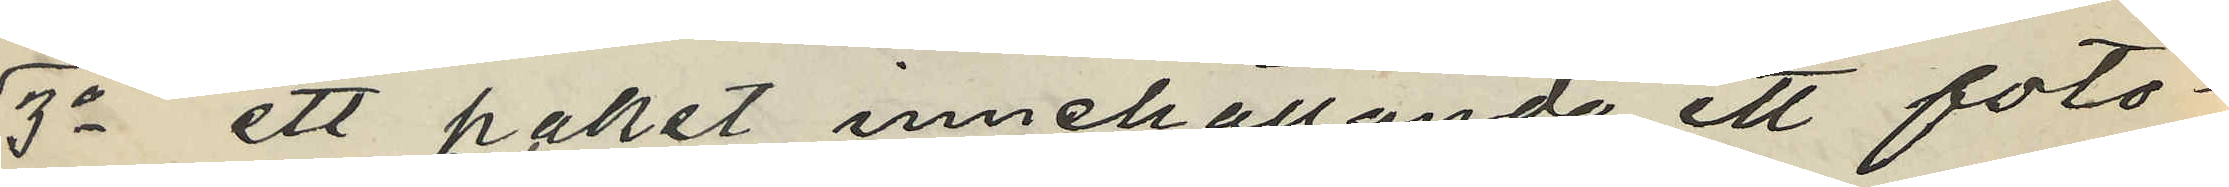3o ett paket innehållande ett foto¬
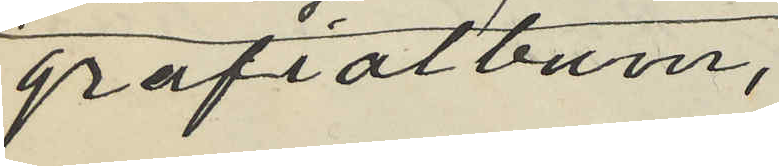grafialbum,
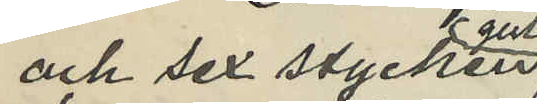och sex stycken
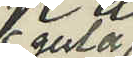gula
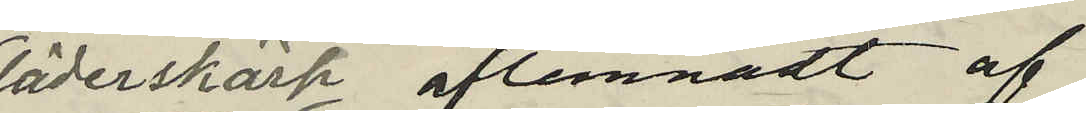läderskärp aflemnadt af
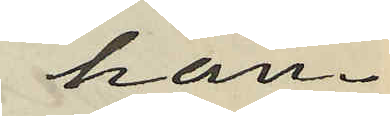han¬
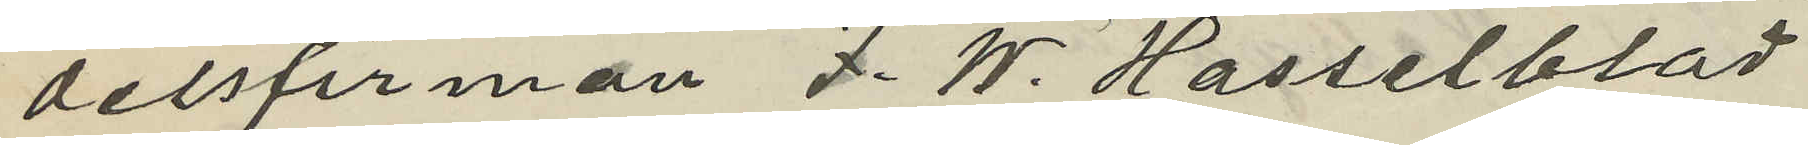delsfirman F. W. Hasselblad
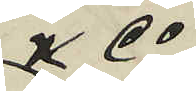& Co
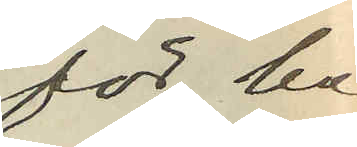för be¬
